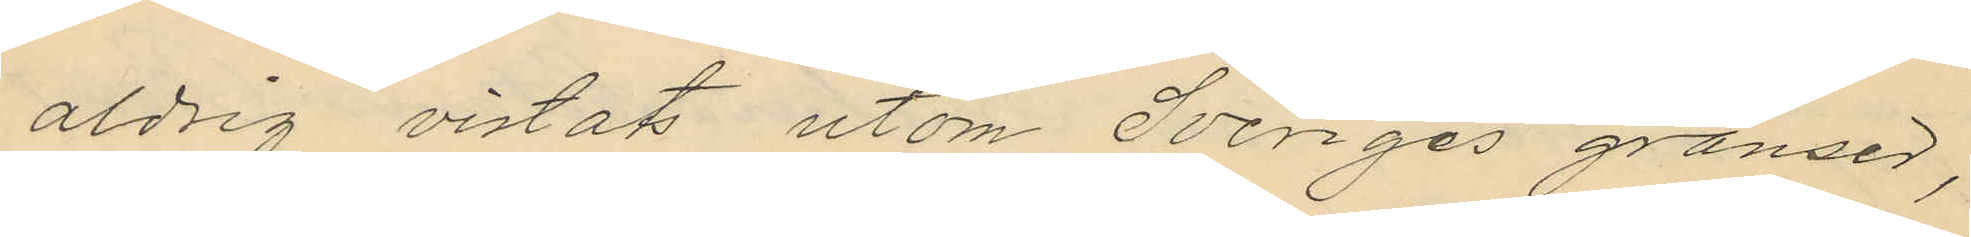aldrig vistat utom Sveriges gränser,
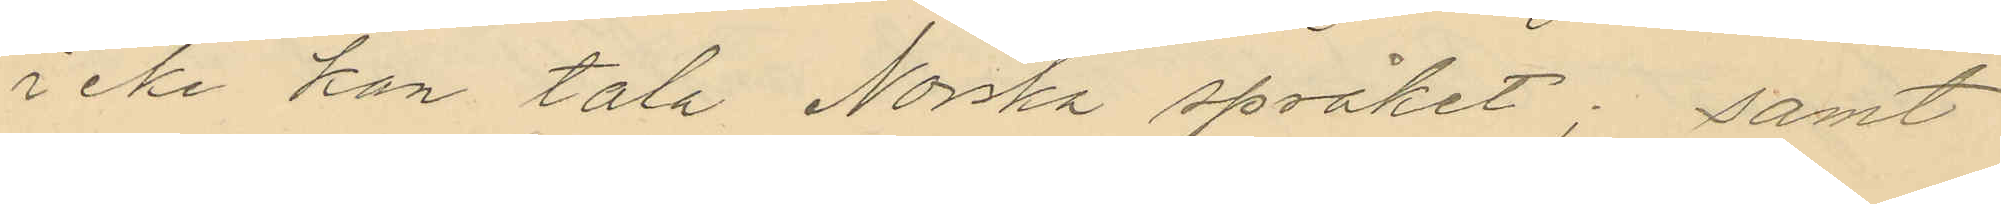icke kan tala Norska språket; samt
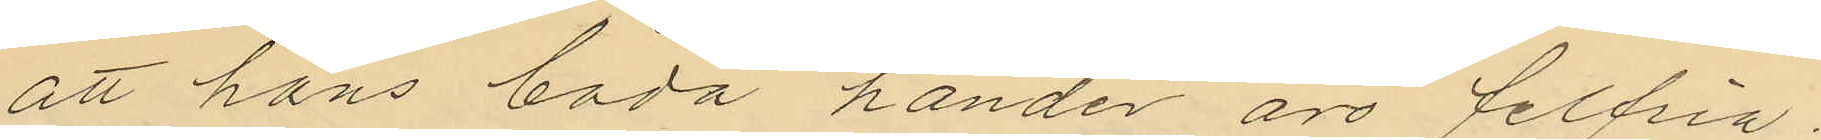att hans båda händer äro felfria.
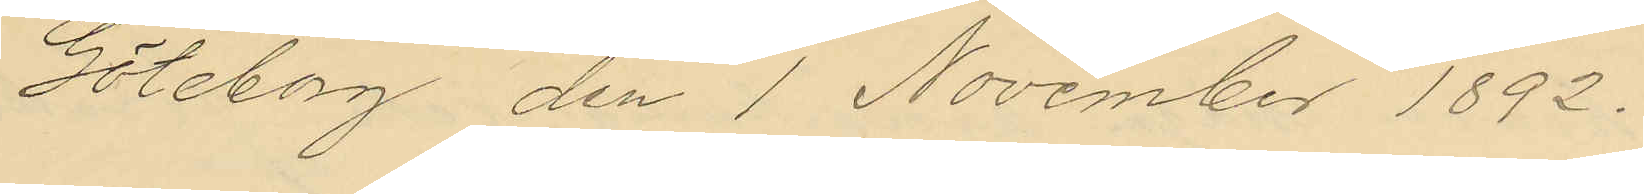Göteborg den 1 November 1892.
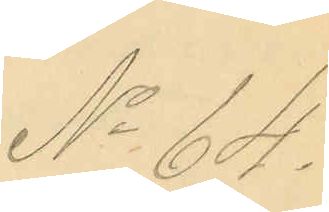No 64.
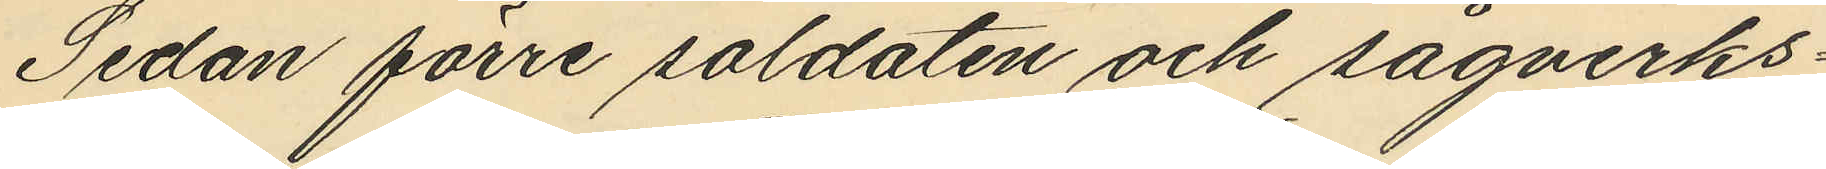Sedan förre soldaten och sågverks¬
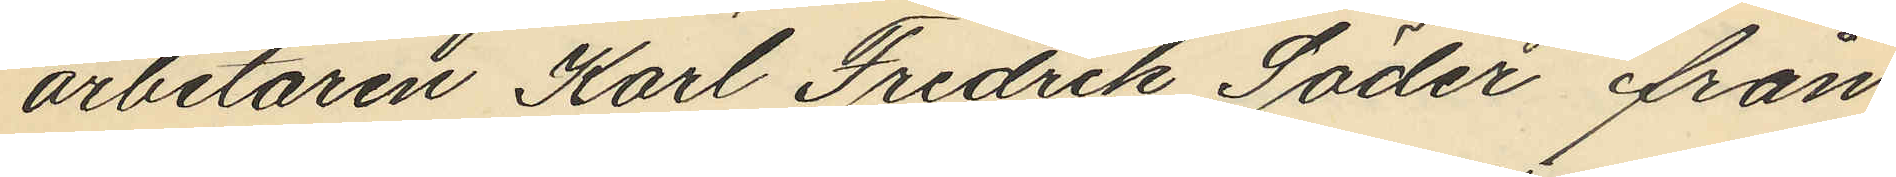arbetaren Karl Fredrik Söder från
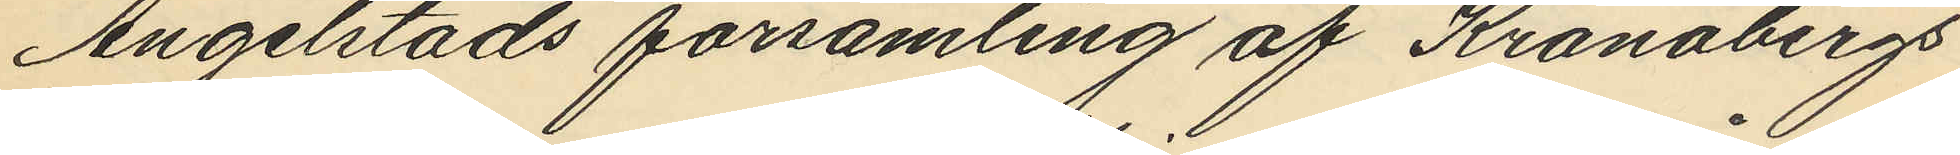Angelstads församling af Kronobergs
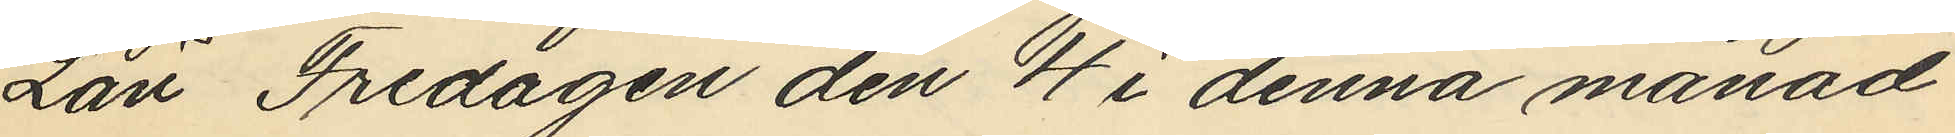Län Fredagen den 4 i denna månad
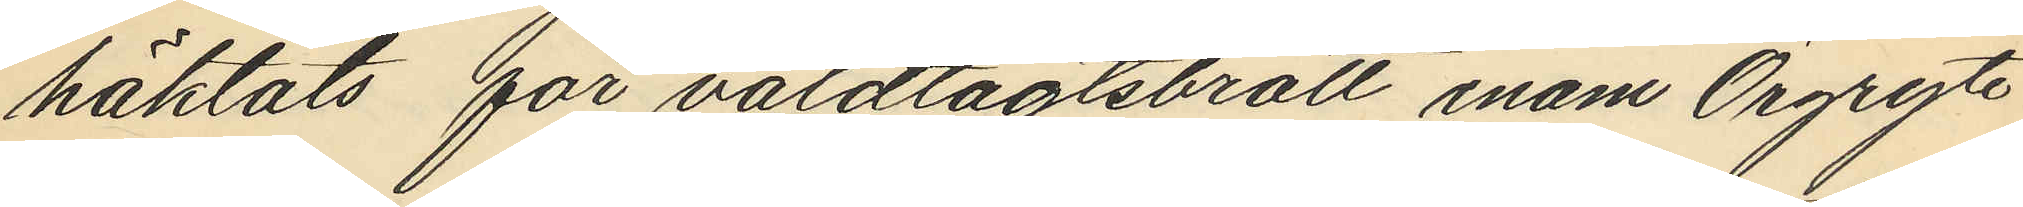häktats för våldtägtsbrott inom Örgryte
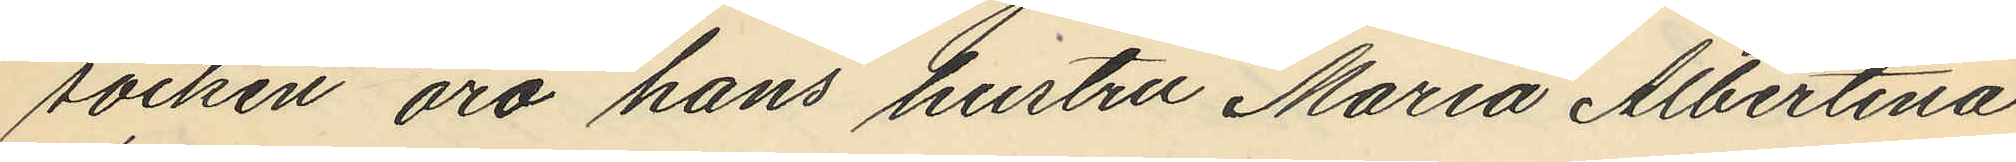socken äro hans hustru Maria Albertina
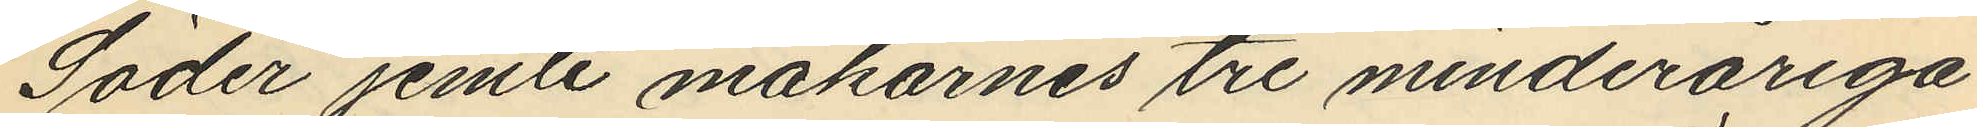Söder jemte makarnes tre minderåriga
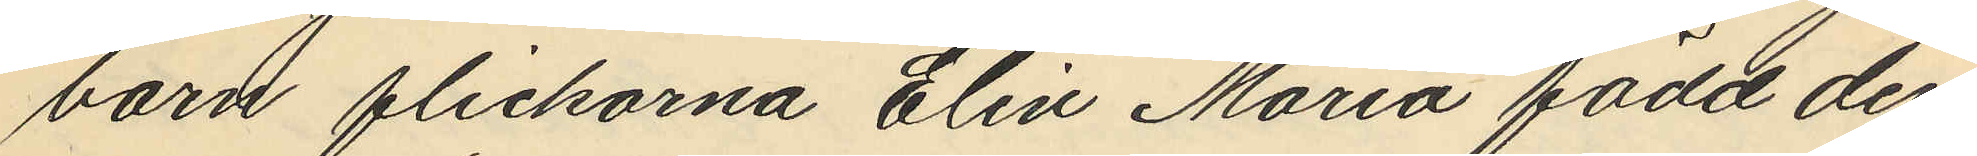barn flickarna Elin Maria född den
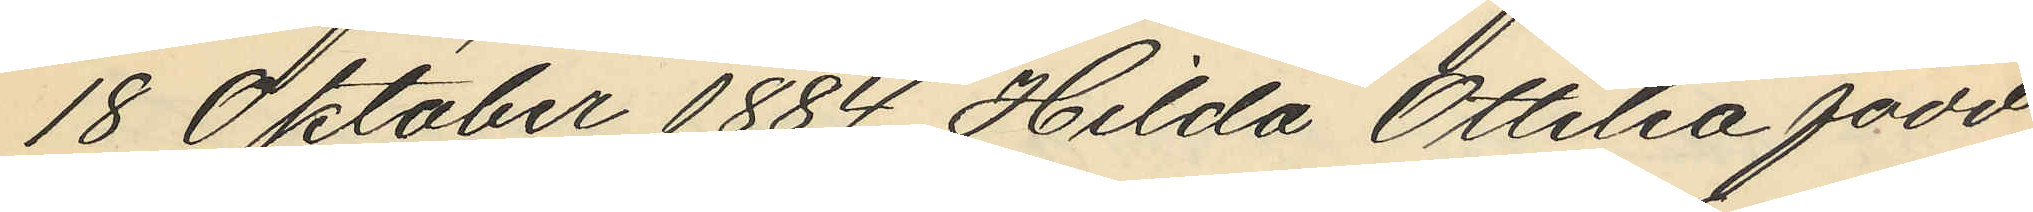18 Oktober 1884 Hilda Ottilia född
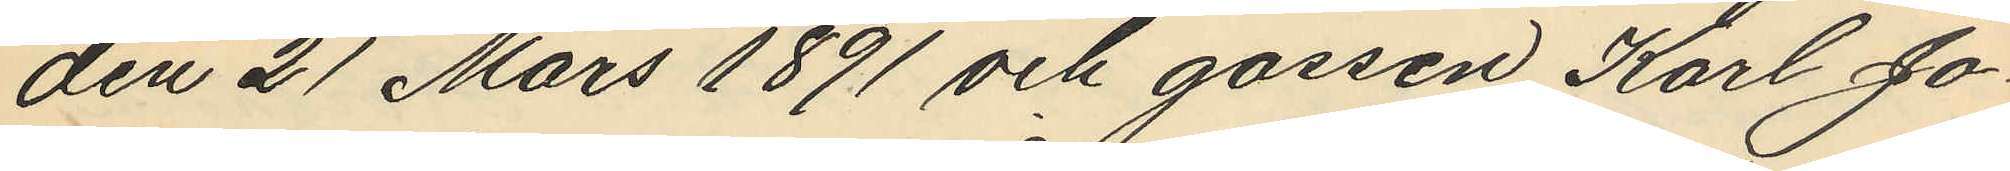den 21 Mars 1891 och gossen Karl Jo¬
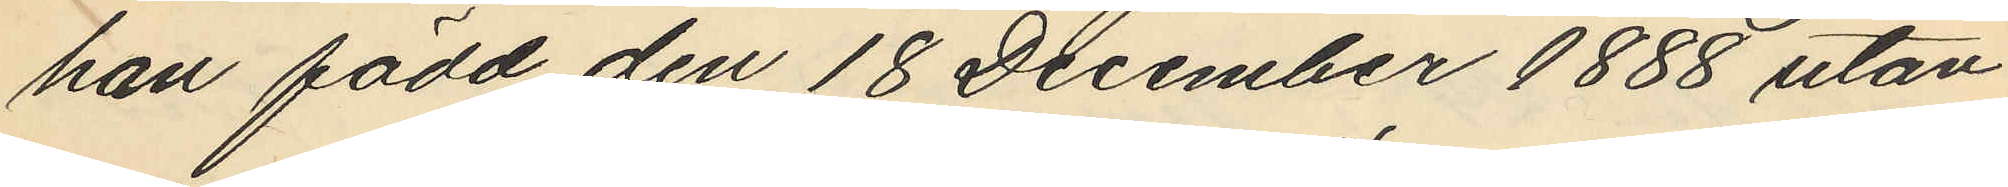han född den 18 December 1888 utan
